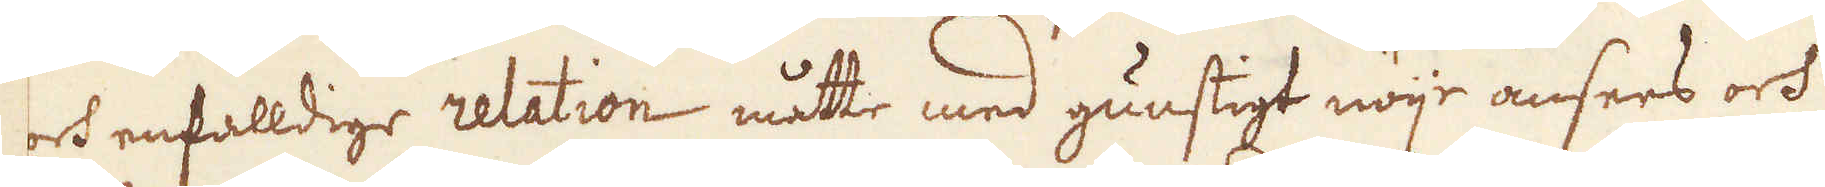och enfalldige relation måtte med gunstigt nöije ansees och
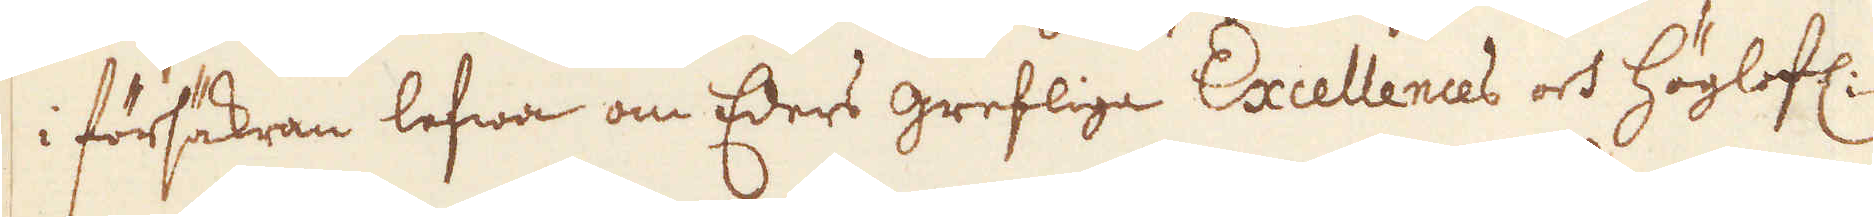i försäckran lefwa om Eders grefliga Excellences och Höglofl:
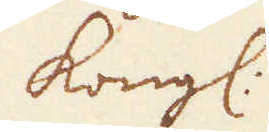Kongl:
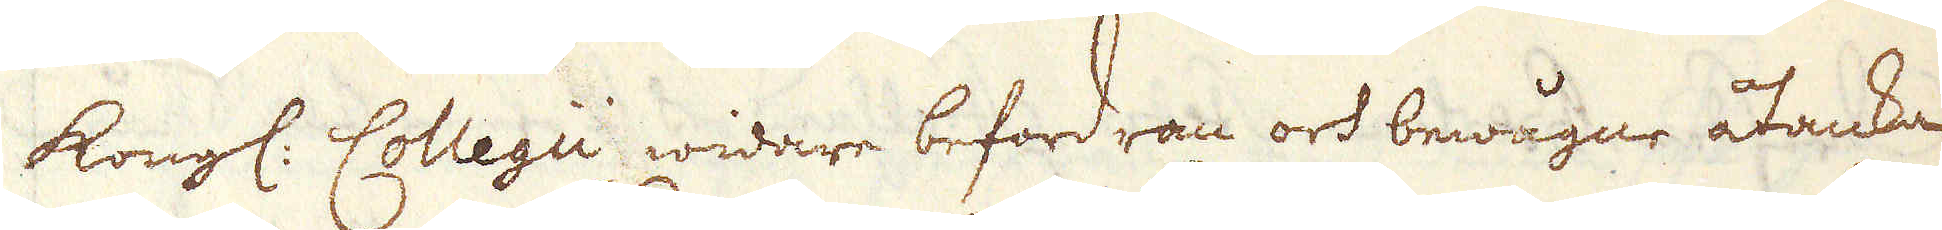Kongl. Collegii widare befordran och bewågne åtanka
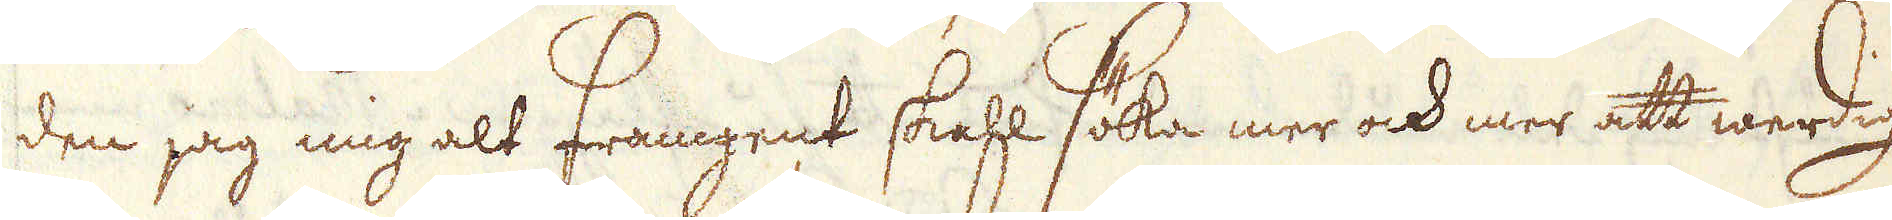den jag mig alt Framgent skahl söka mer ock mer att werdig
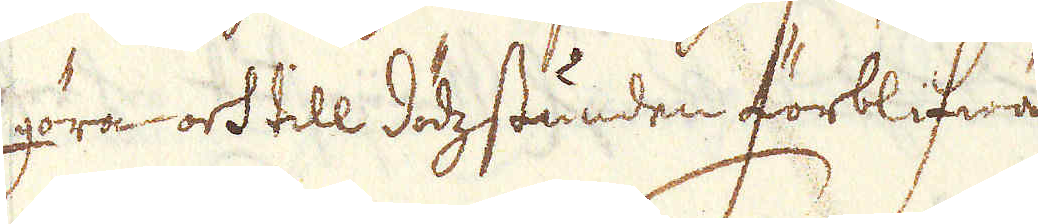göra och till dödstunden förblifwa
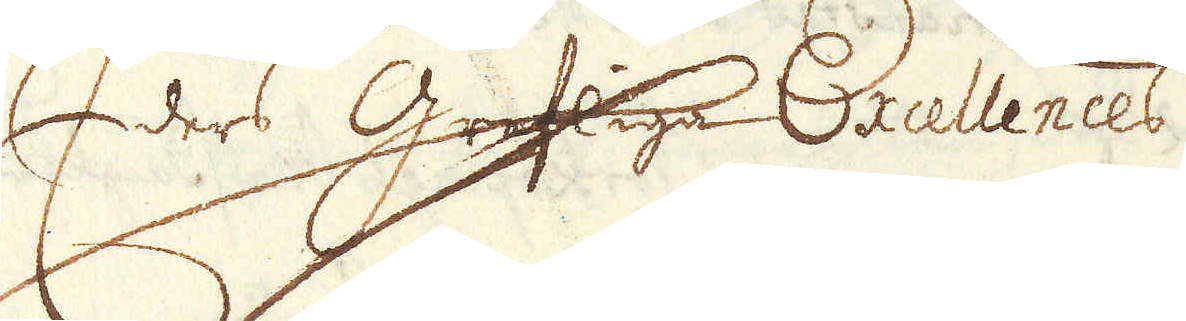Efdes Grefliga Excellences
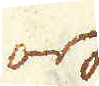och
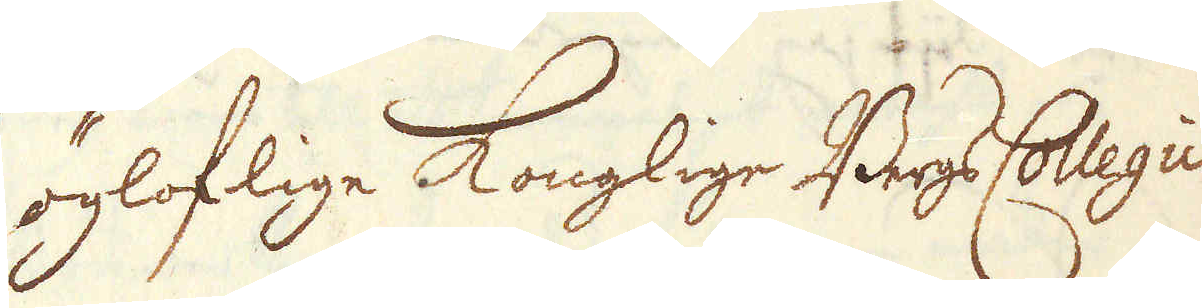Högloflige Konglige BergsCollegii
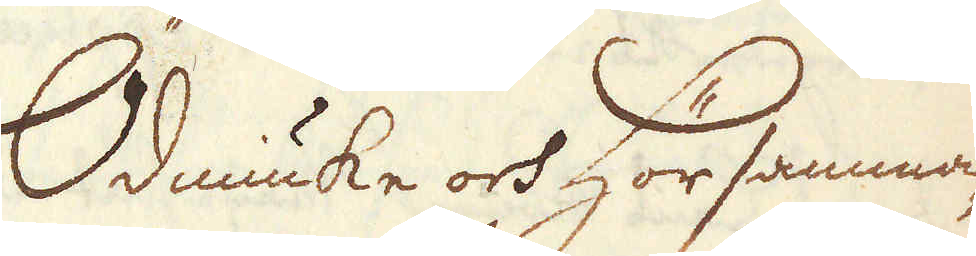Ödmiuke och hör samma-
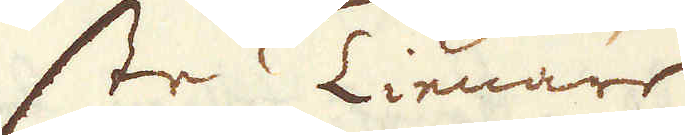ste Tienare
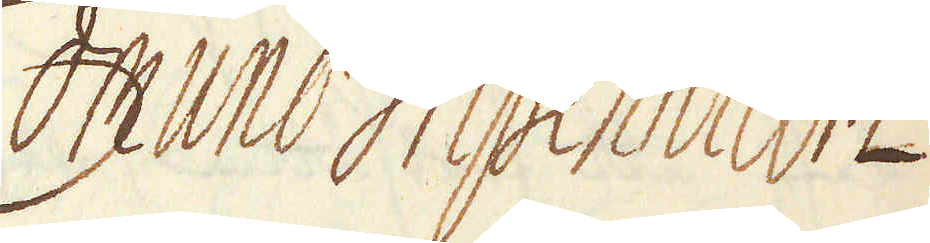Edmund Gripenhielm
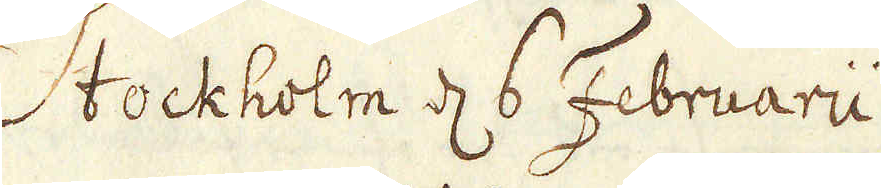Stockholm d 6 Februarii
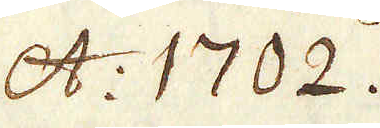A: 1702.
